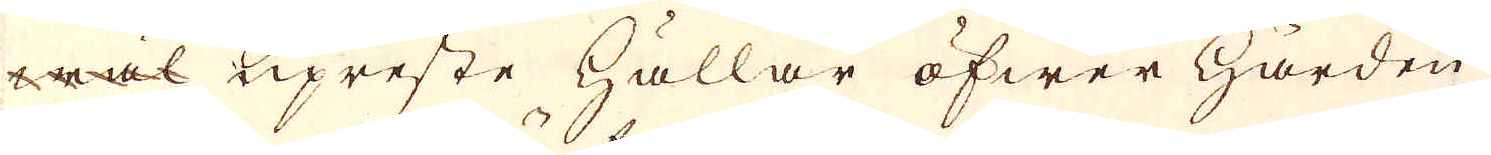wäl upreste hållar öfwer härden
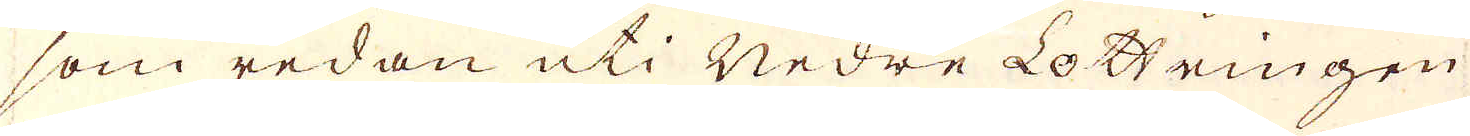som redan uti Nedre Lottringen
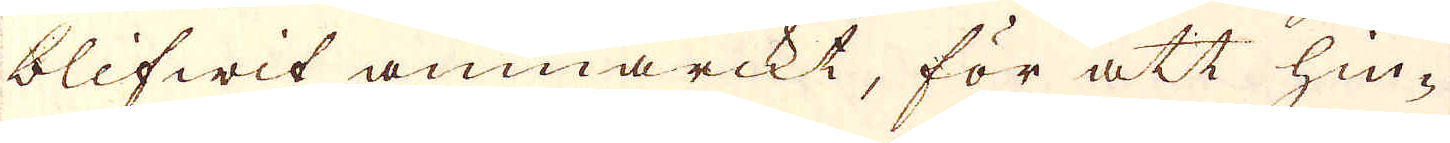blifwit anmärckt, för att hin-
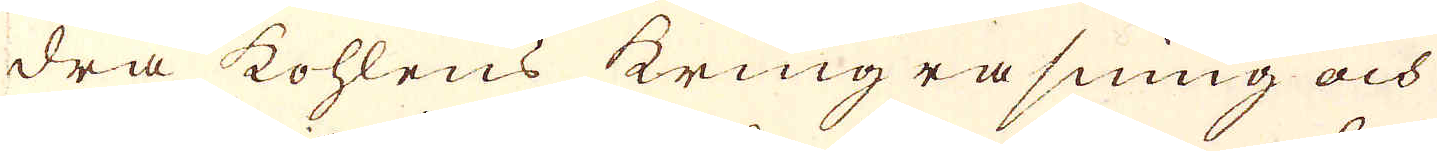dra kohlens kringrasning och
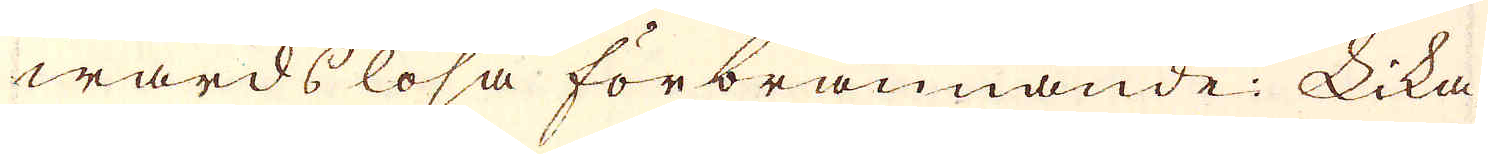wårds lösa förbrännande: Lika-
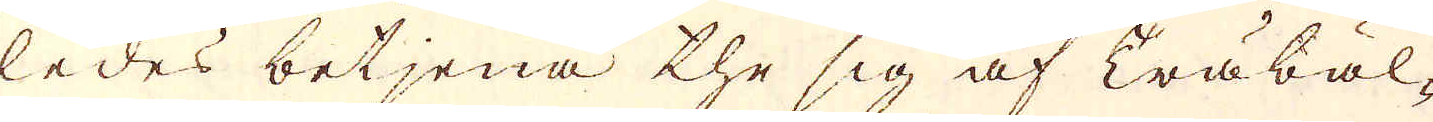ledes betjena the sig af Träbäl-
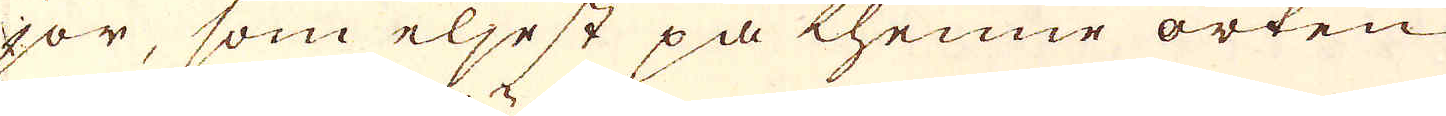jor, som eljest på thenne orten
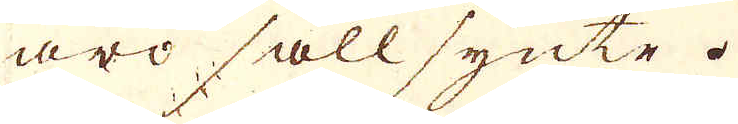äro säll synte.
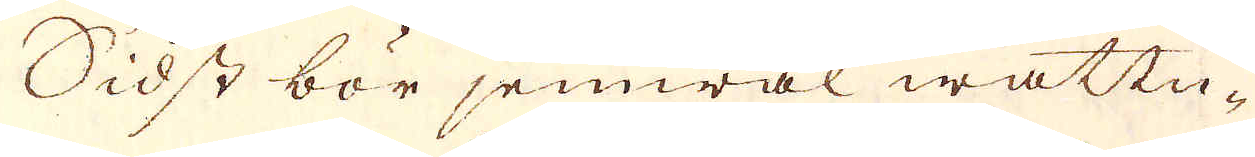Sidst bör jemwäl wattu-
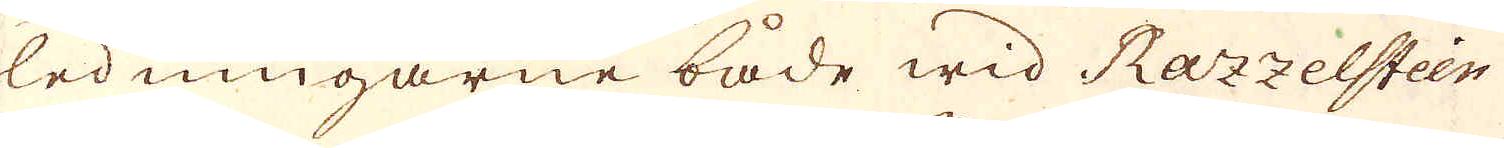ledningarne både wid Razzelstein
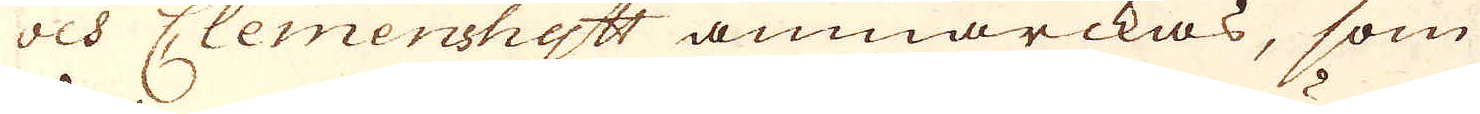och Clemenshytt anmärckas, som
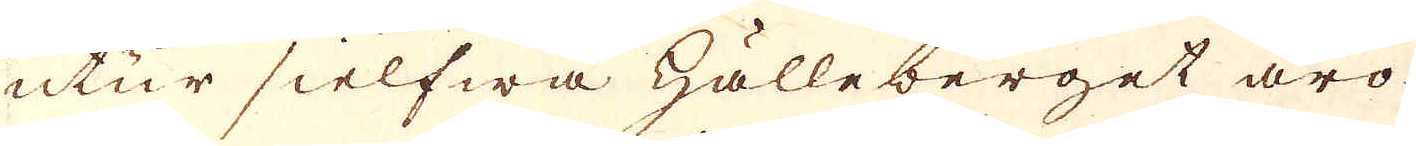utur sielfwa hälleberget äro
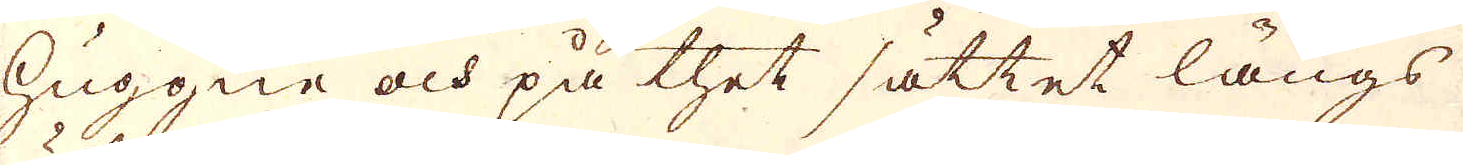huggne och på thet sättet längs
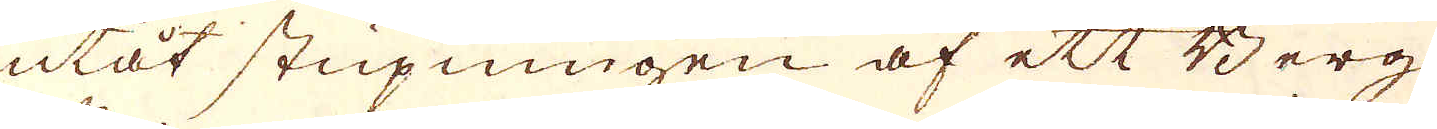utåt stupningen af ett Berg
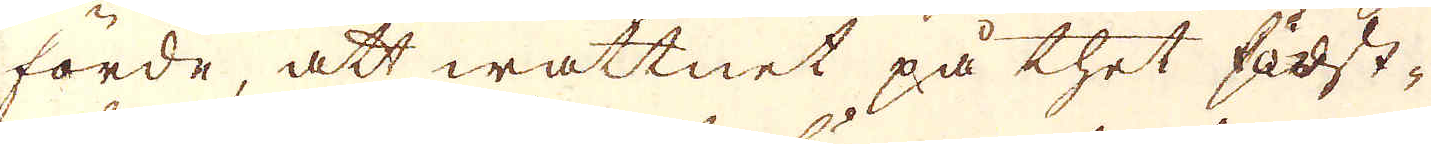forde, att wattnet på thet först-
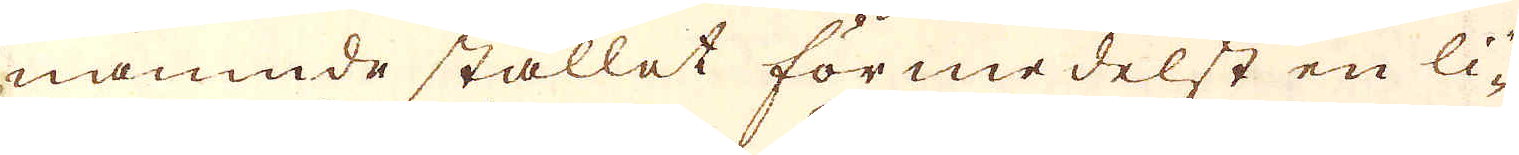nämnde stället förmedelst en li-
